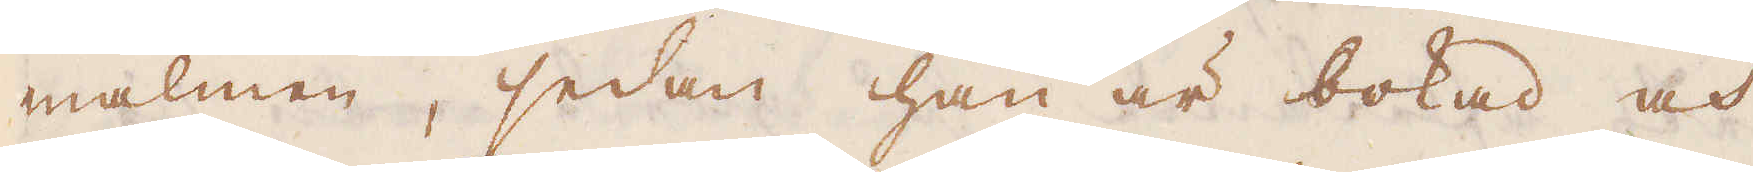malmen, sedan han är bokad och
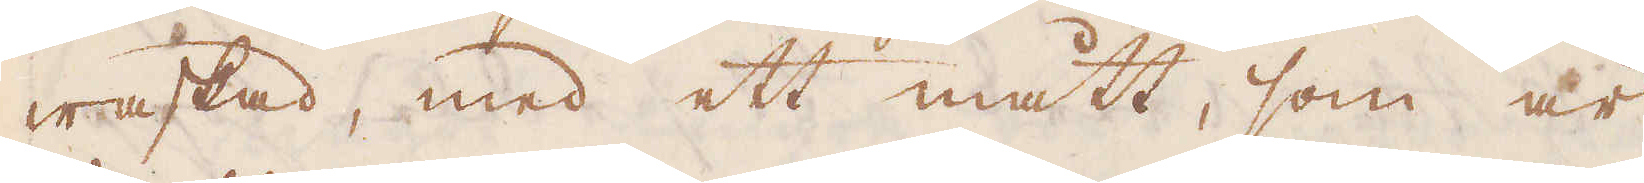waskad, med ett mått, som är
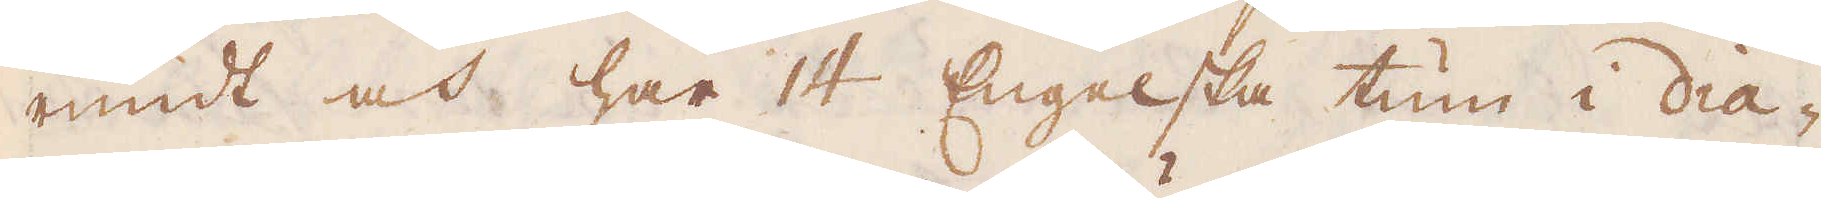rundt och har 14 Engelska tum i dia-
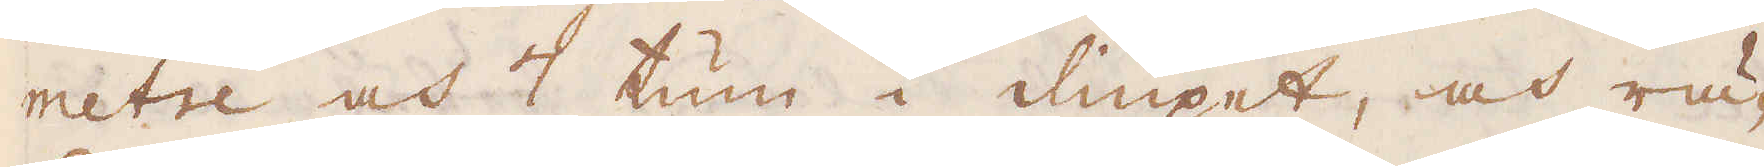metre och 7 tum i diupet, och rä-
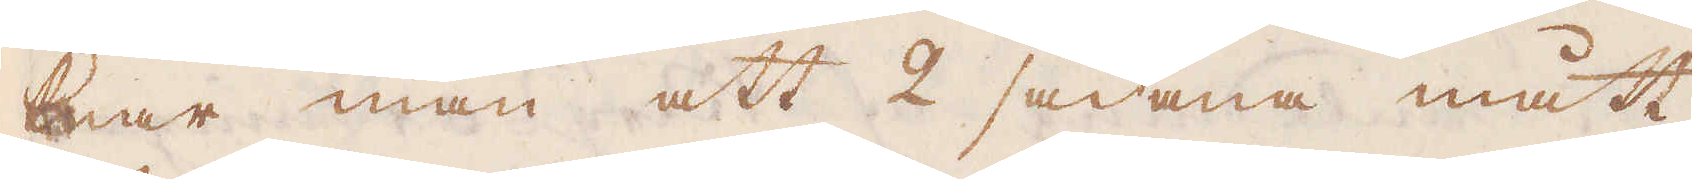knar man att 2 sådana mått
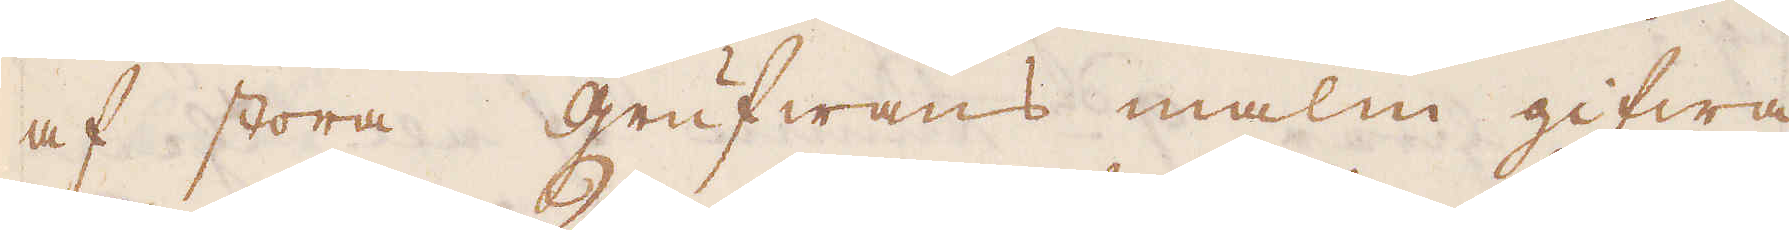af stora grufwans malm gifwa
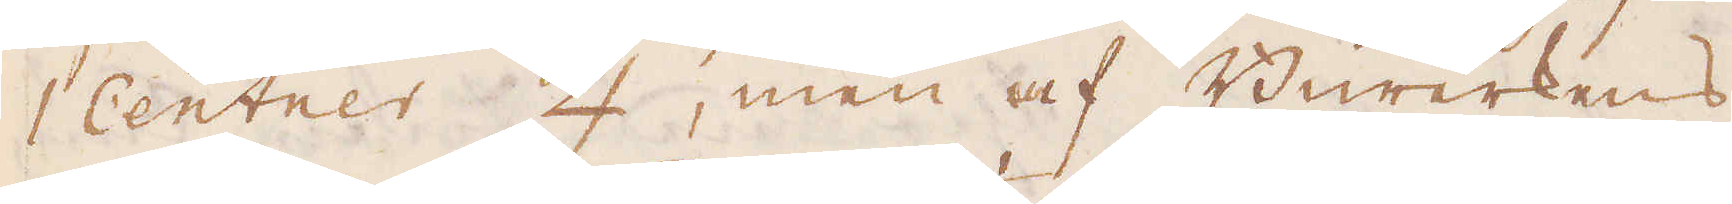1 Centrer ♃, men af Biwerkens
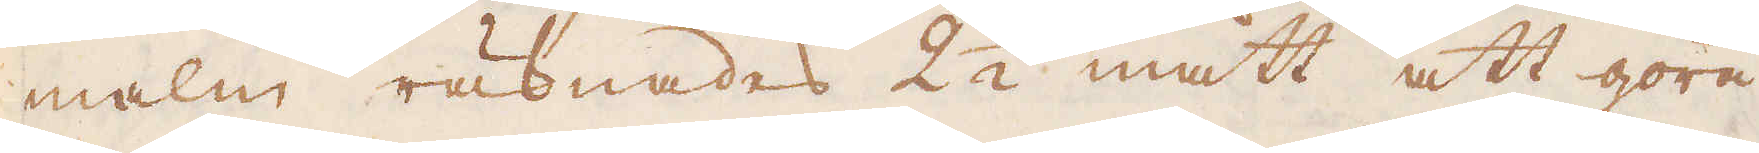malm räknades 2 1/2 mått att göra
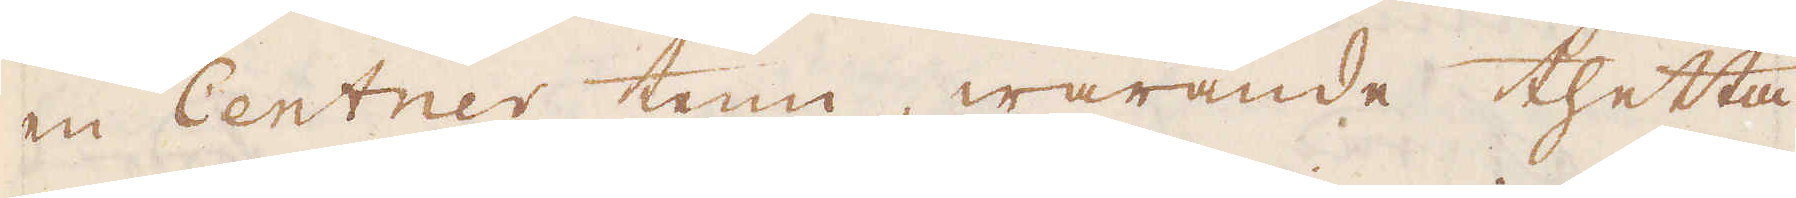en Centner tenn, warande thetta
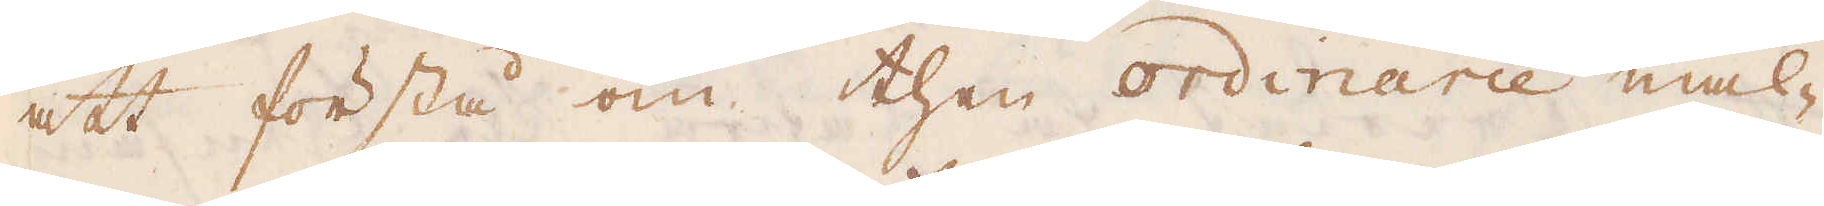att förstå om then ordinarie mal-
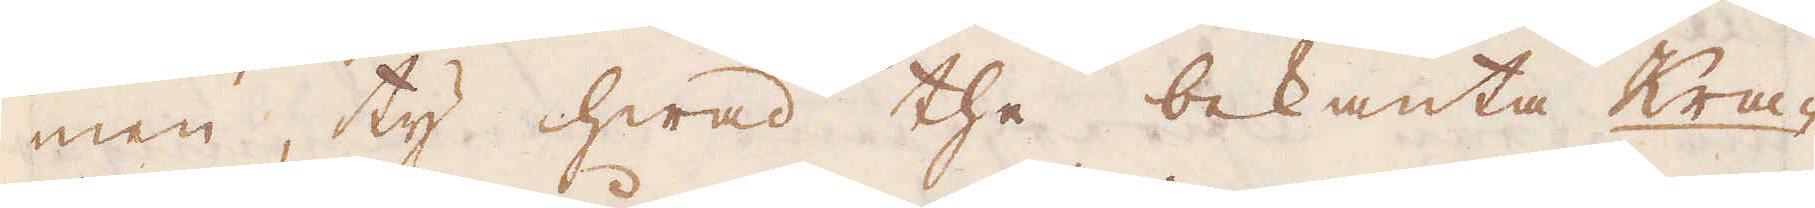men, ty hwad the bekanta Kra-
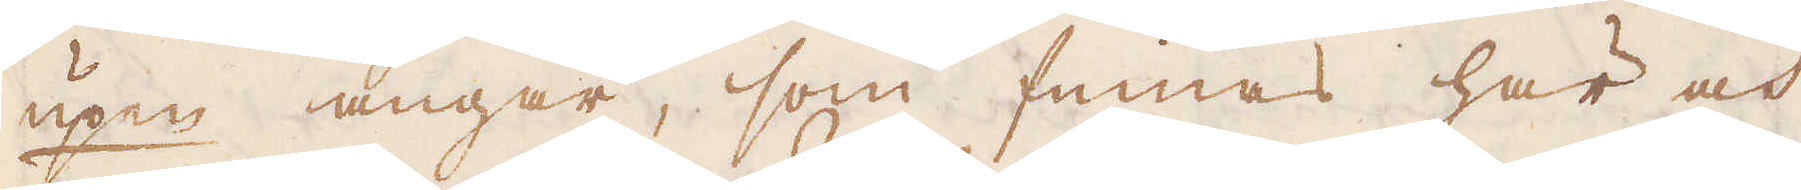upen angår, som finnas här och
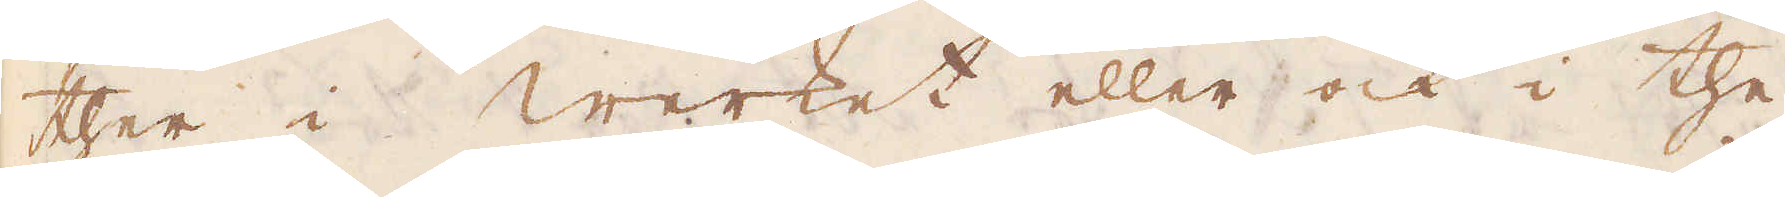ther i werket eller ock i the
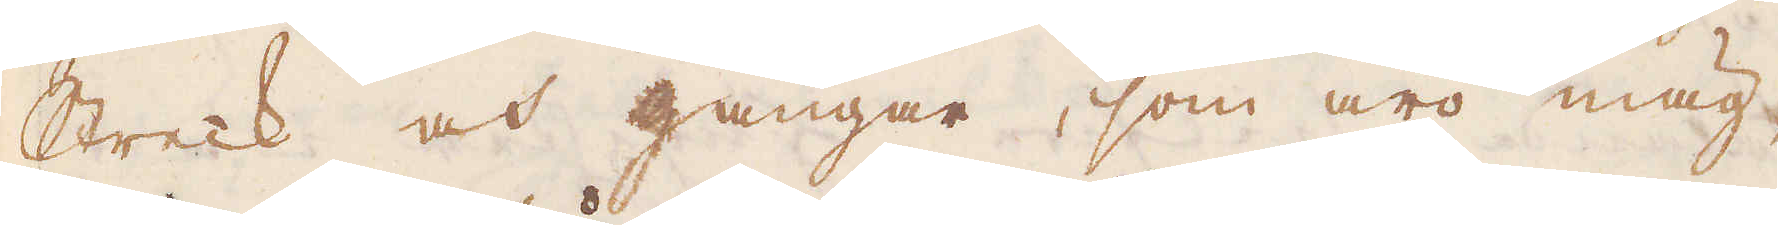Streck och gångar, som äro mäg-
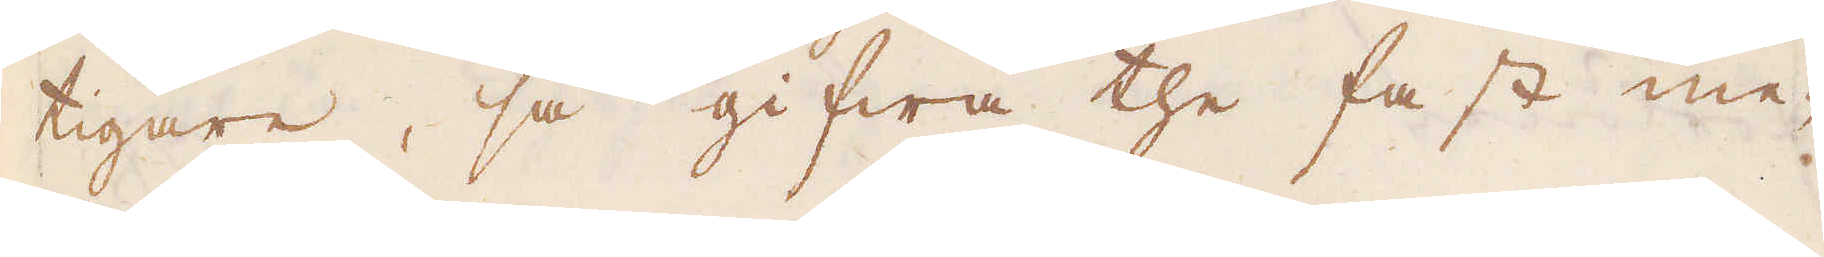tigare, så gifwa the fast me-
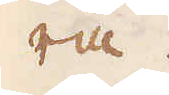ra.
